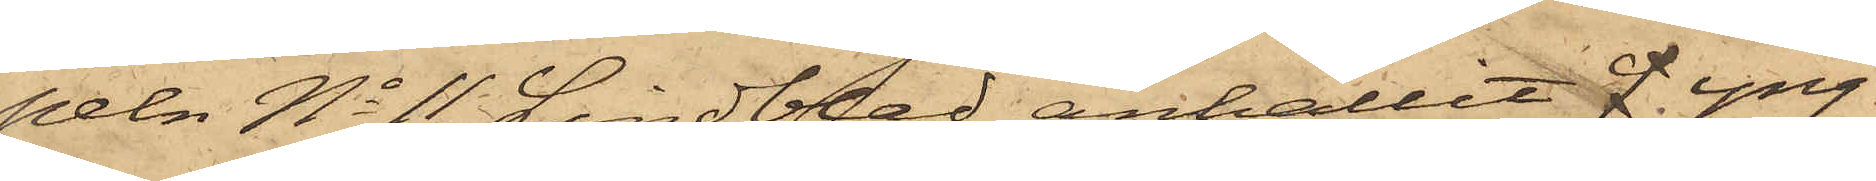peln No 11 Lindblad anhållit J yng¬
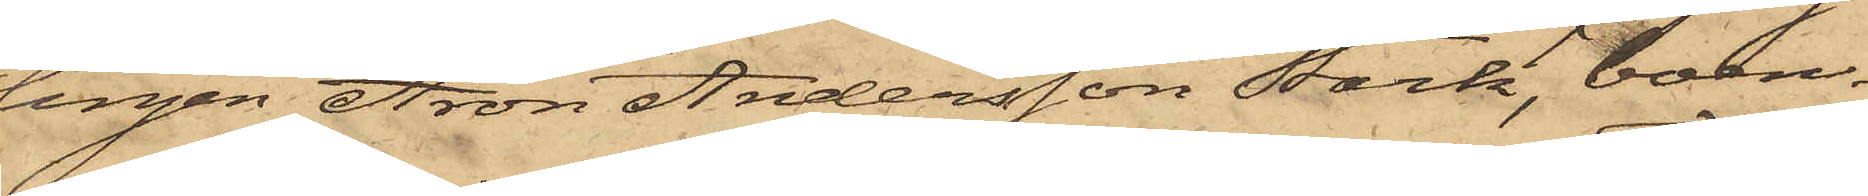lingen Aron Andersson Stark, boen¬
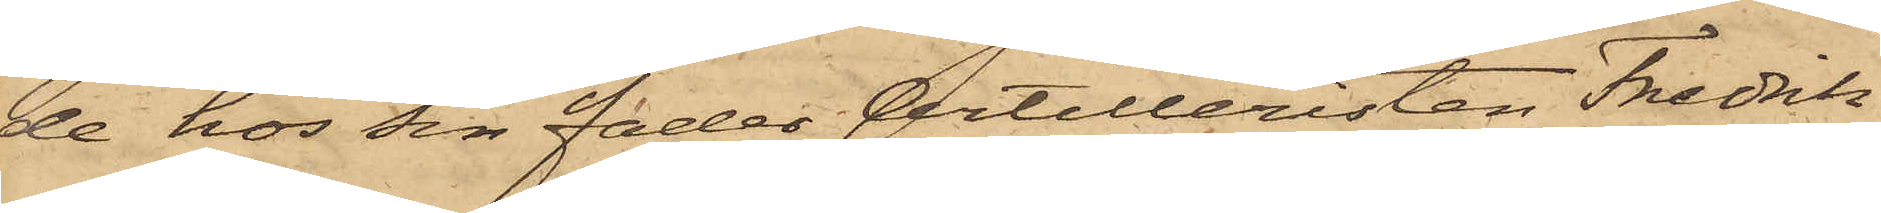de hos sin fader Artilleristen Fredrik
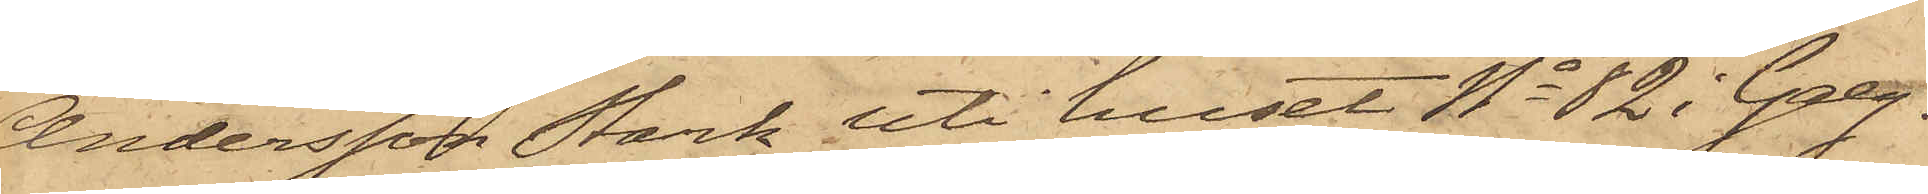Andersson Stark uti huset No 82 i Galg¬
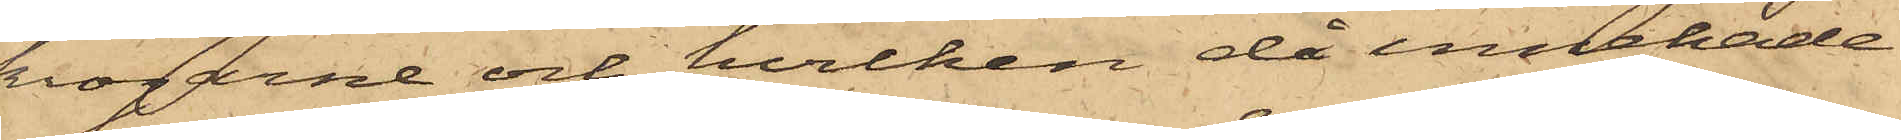krogarne och hvilken då innehade
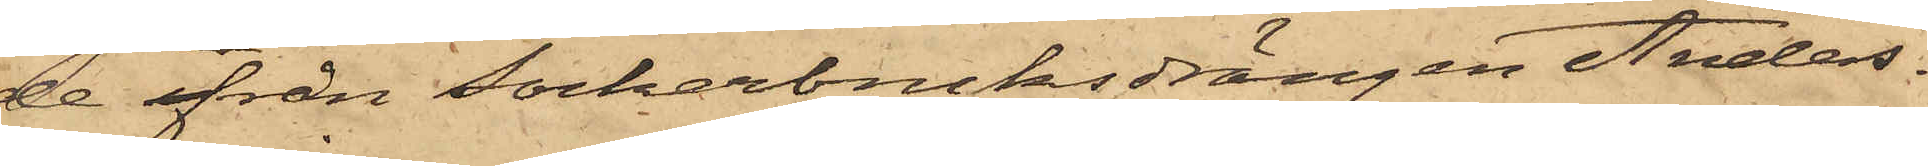de från sockerbruksdrängen Anders¬
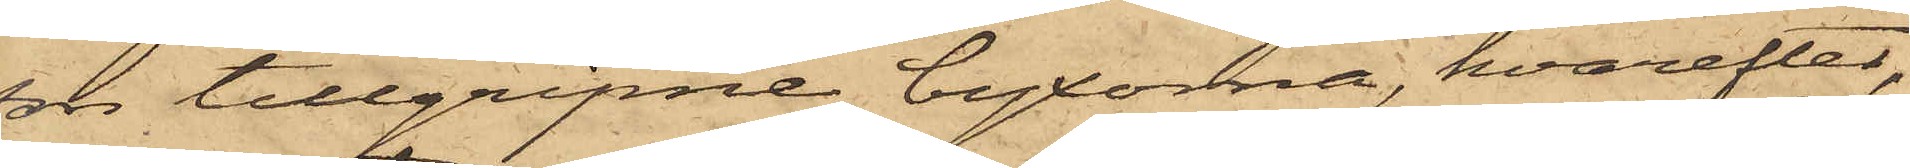son tillgripne byxorna, hvarefter,
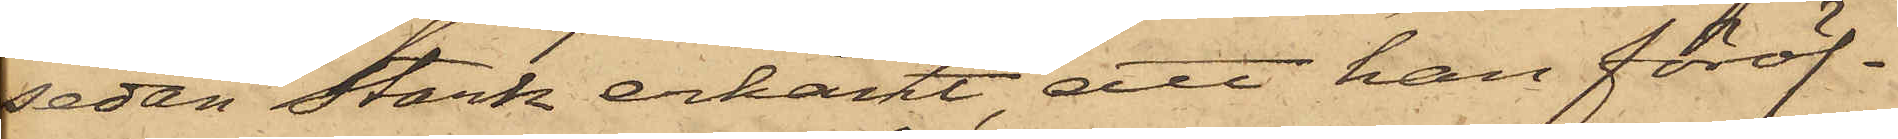sedan Stark erkänt att han föröf¬
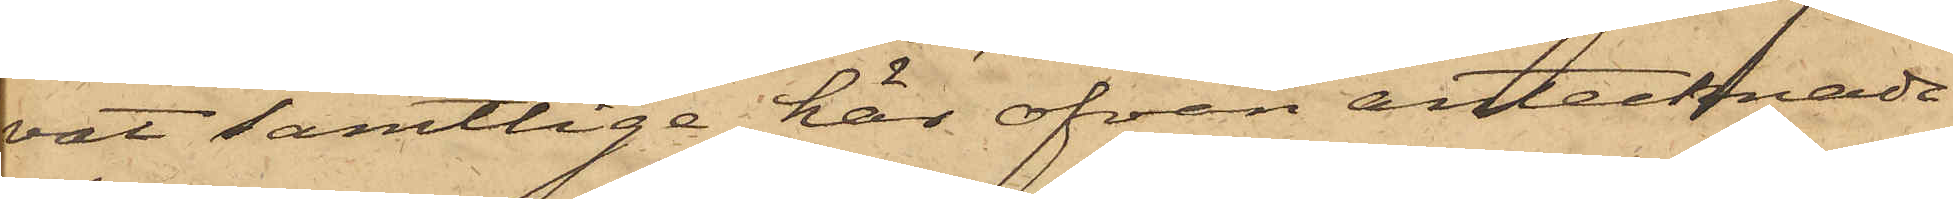vat samtlige här ofvan antecknade
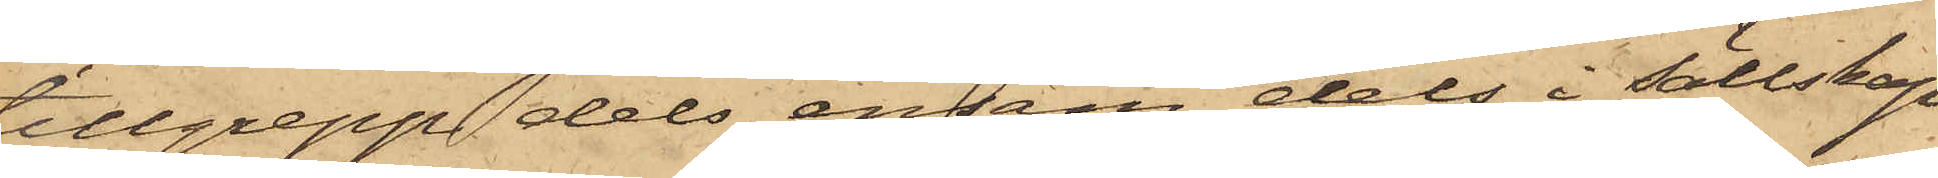tillgrepp dels ensam dels i sällskap
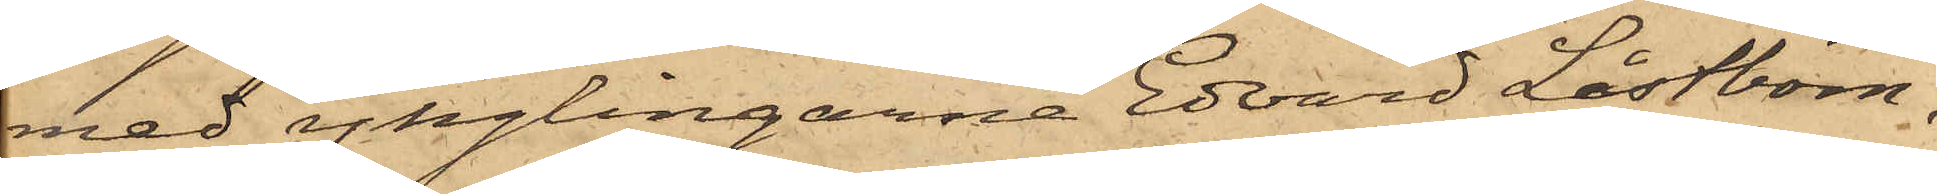med ynglingarne Edvard Låstbom,
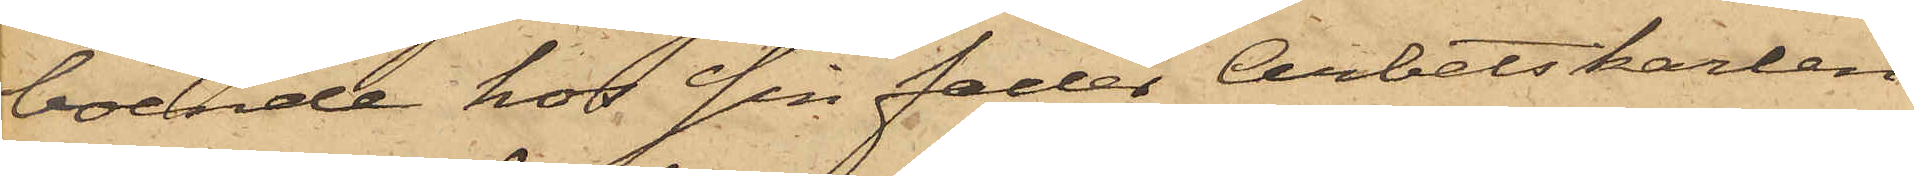boende hos sin fader Arbetskarlen
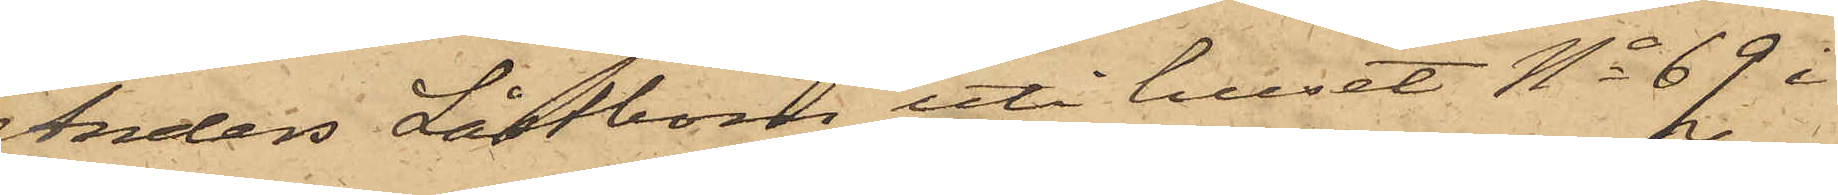Anders Låstbom uti huset No 69 i
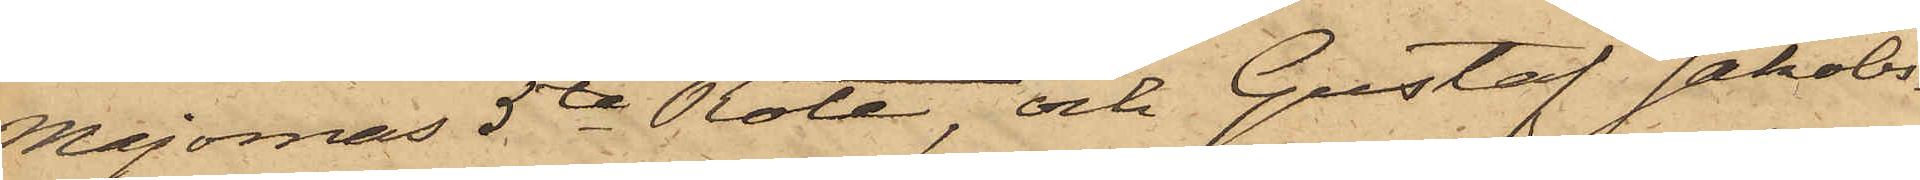Majornas 5te Rote och Gustaf Jakobs¬
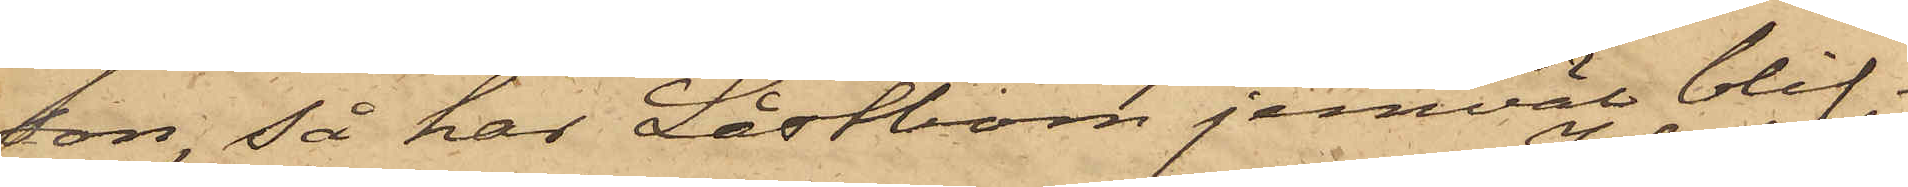son, så har Låstbom jemväl blif¬
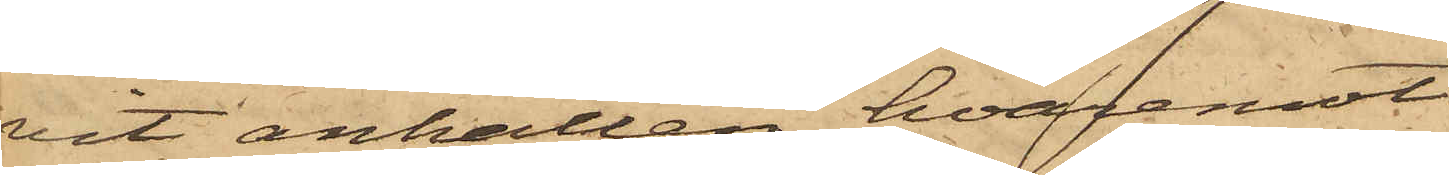vit anhållen hvaremot
